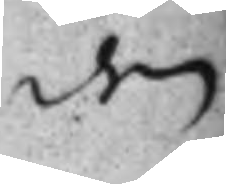den
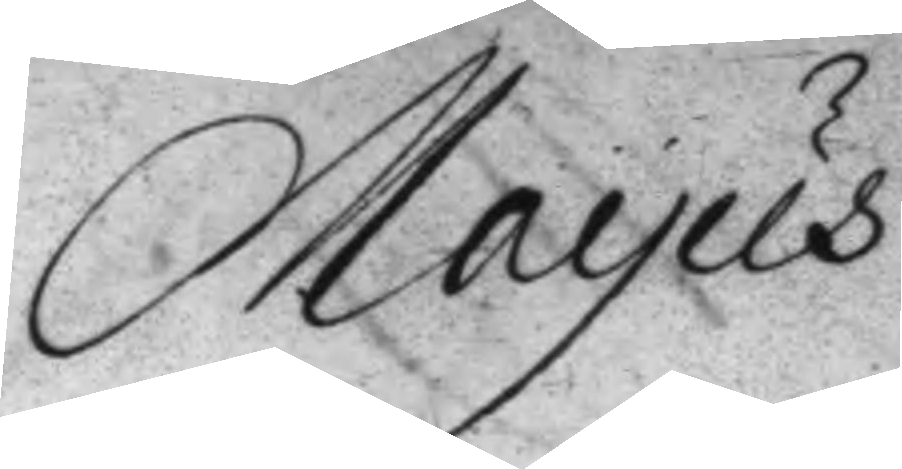Mayus
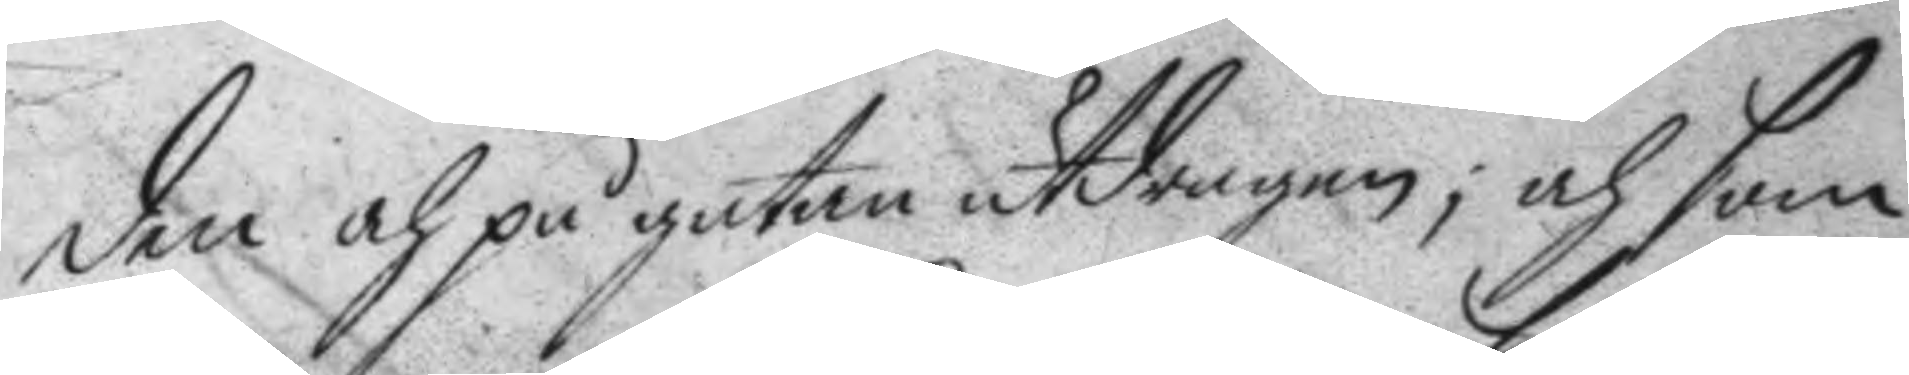den och på gatan utdragen; och som
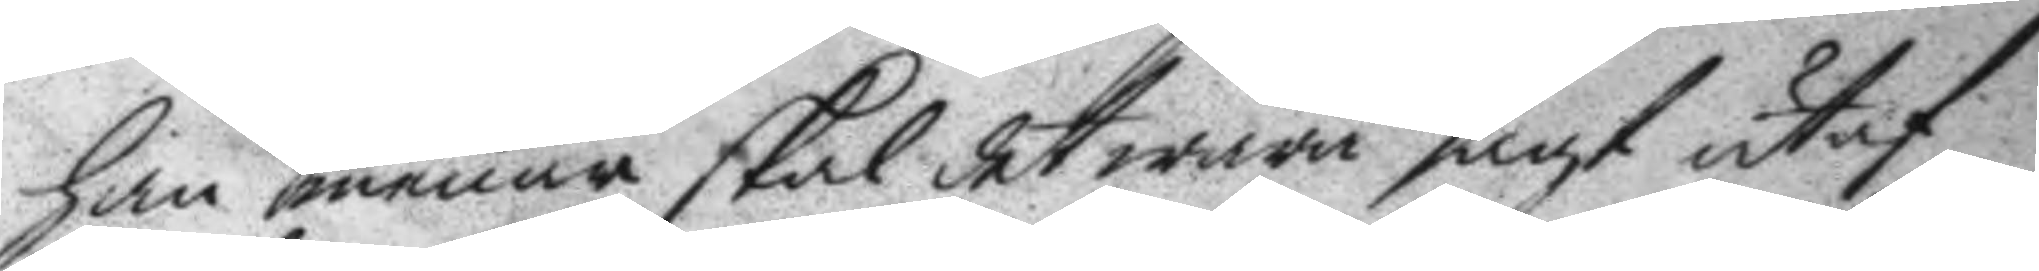han menar skal det wara sagt utaf
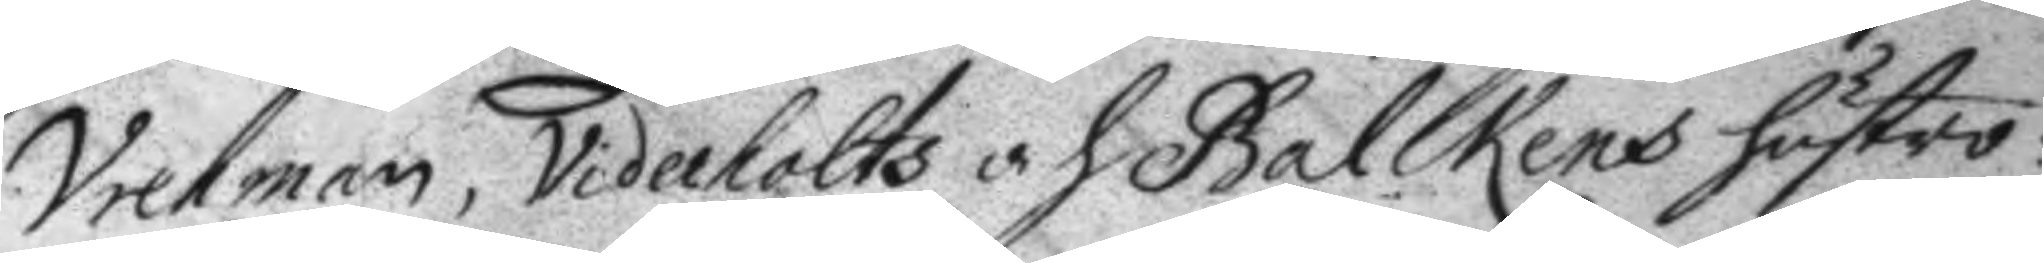Vretman, Viderholts och Balckens hustru:
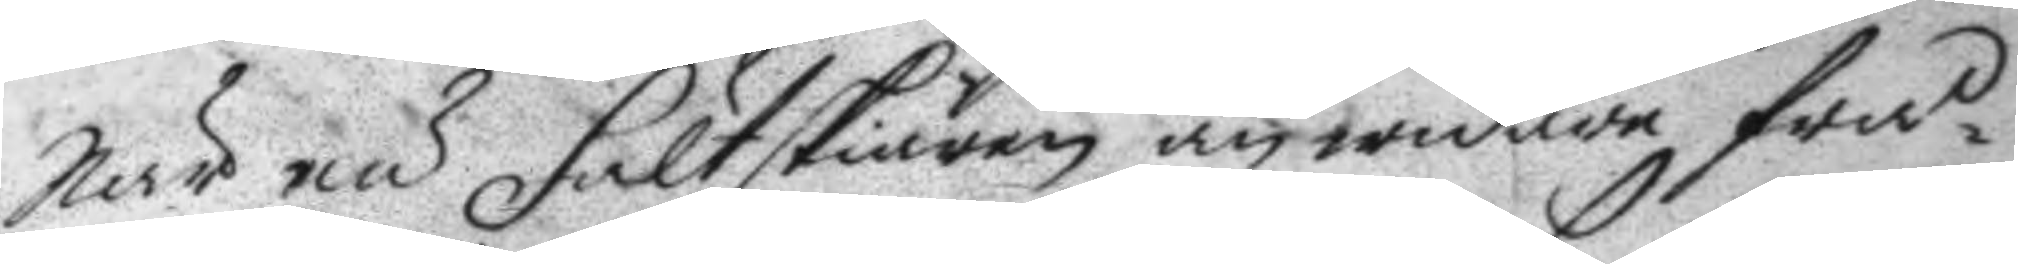När nu Fältskiären än widare frå¬
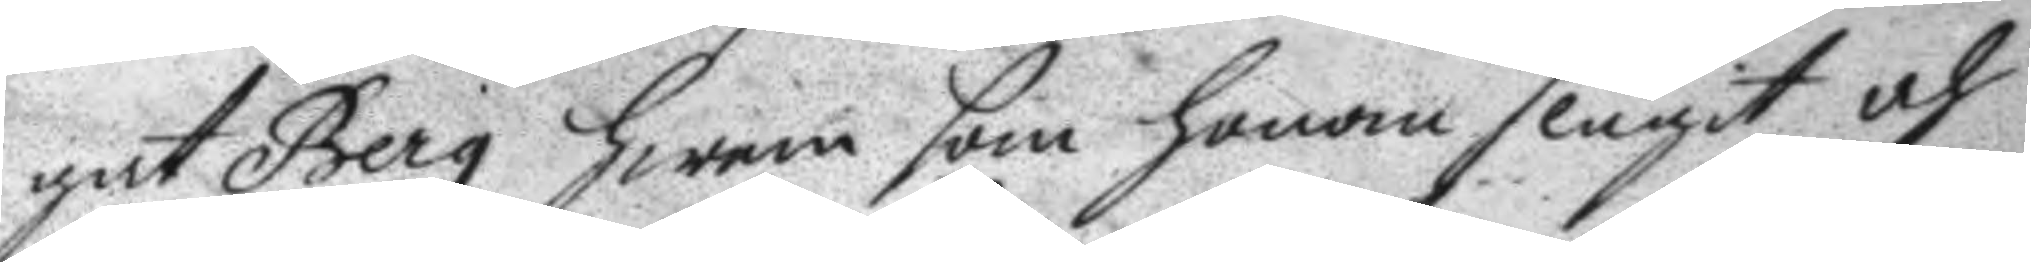gat Berg hwem som honom slagit och
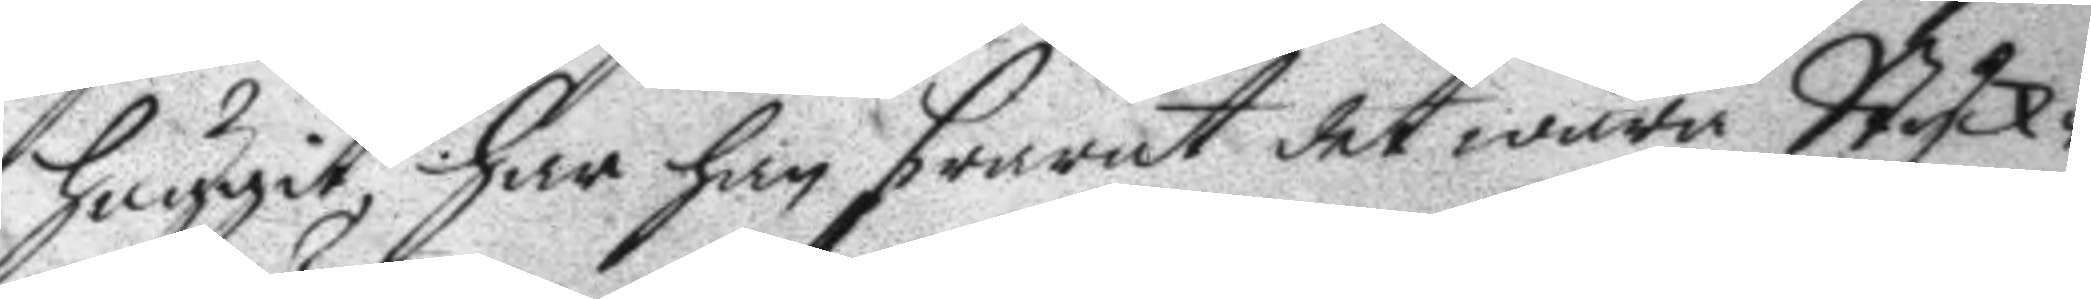huggit, har han swarat det wara Styck¬
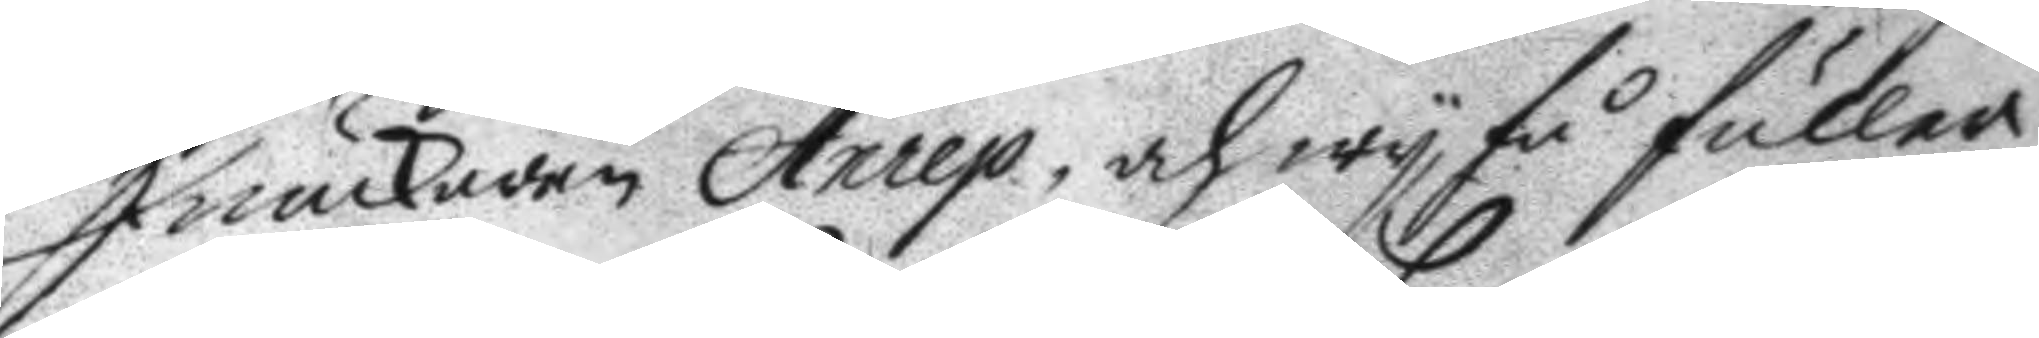Junckaren Anrep, och wy få fuller
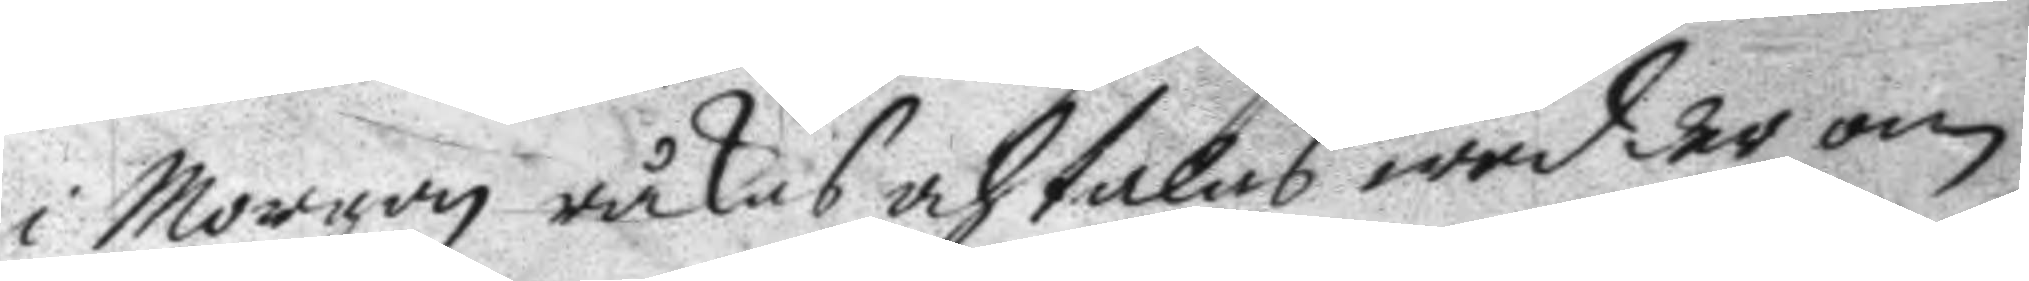i Morgon råkas och talas wed der om:
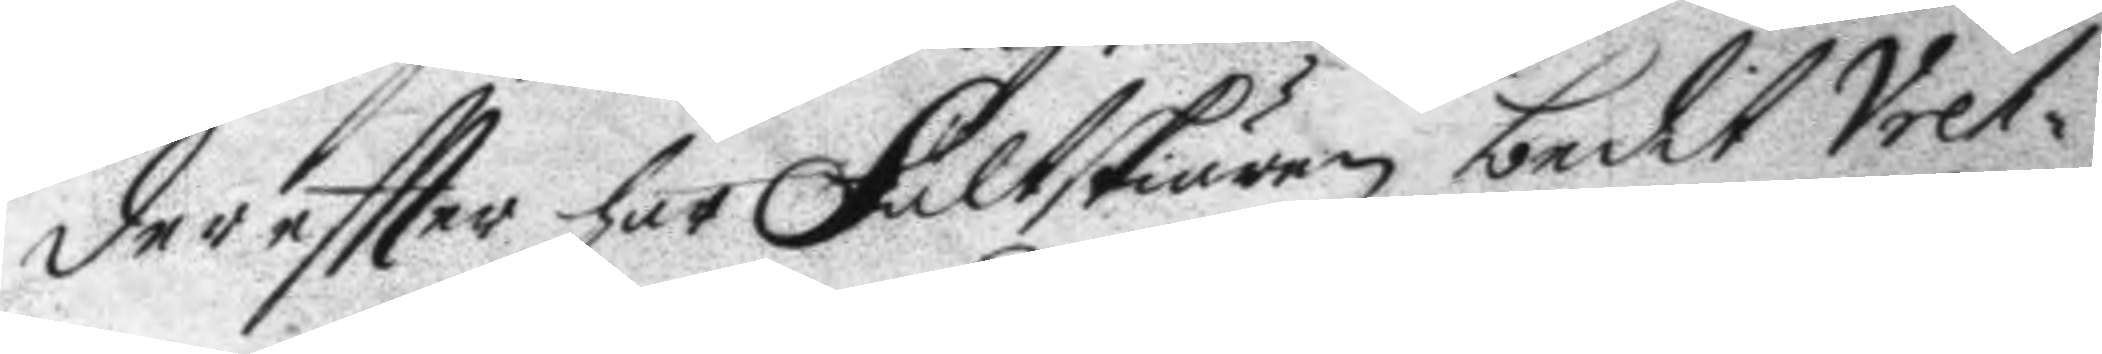der eftter har Fältskiären bedit Vret¬
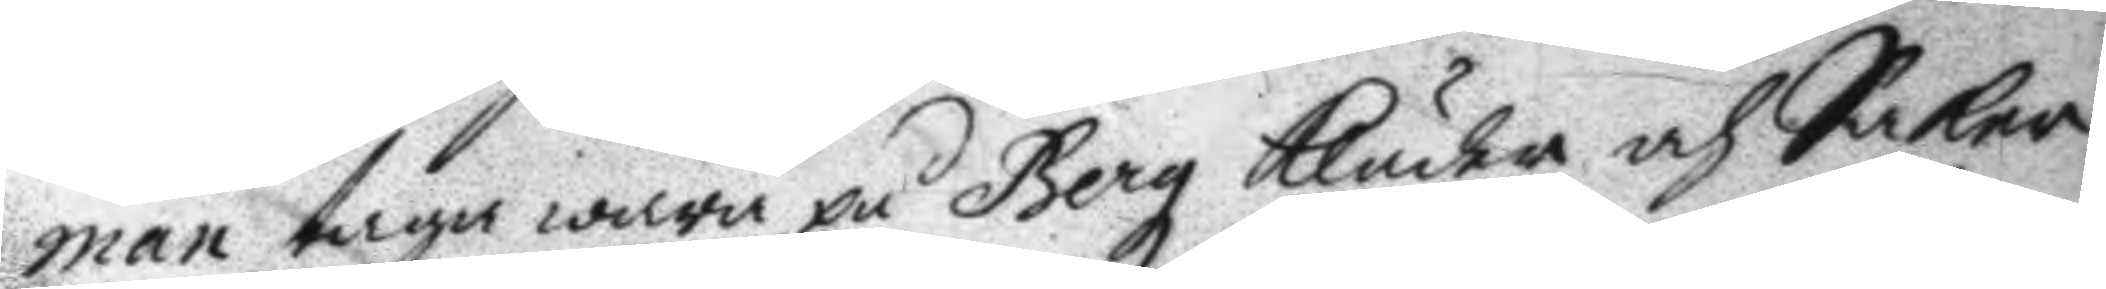man taga wara på Bergz kläder och Saker
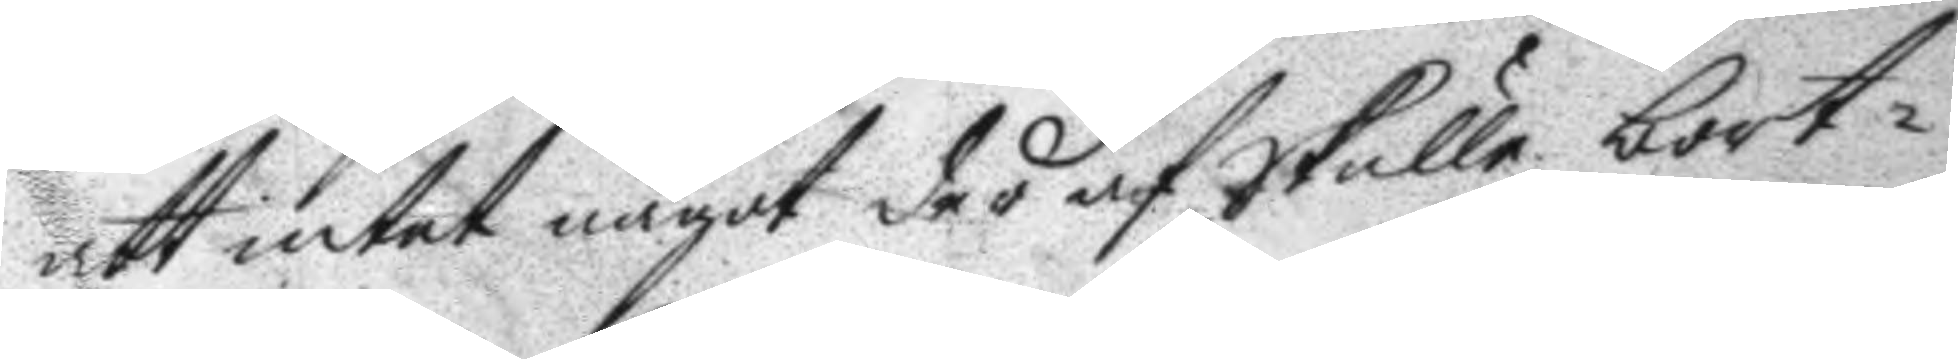att intet något der af Skulle bort¬
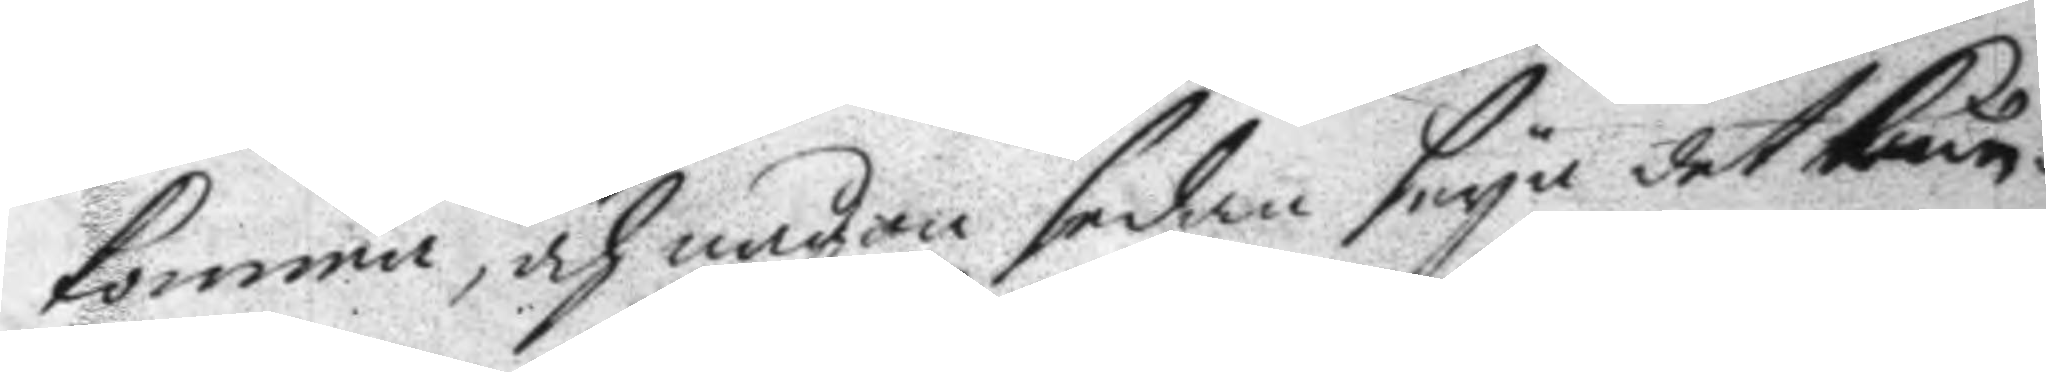komma, och någon sedan deya det kun¬
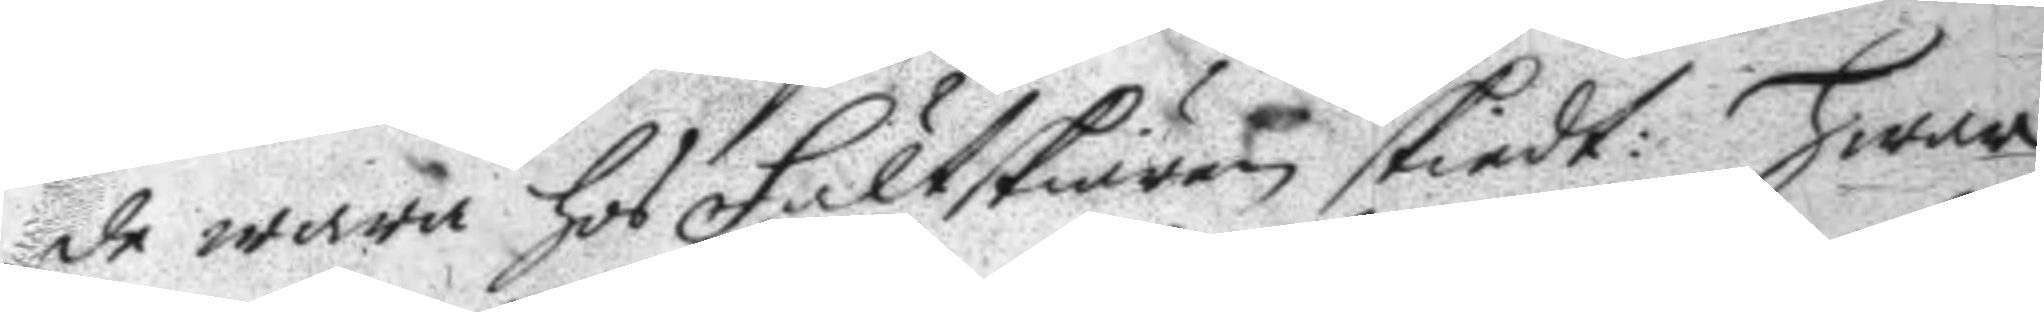de wara hos Fältskiären skiedt: hwar
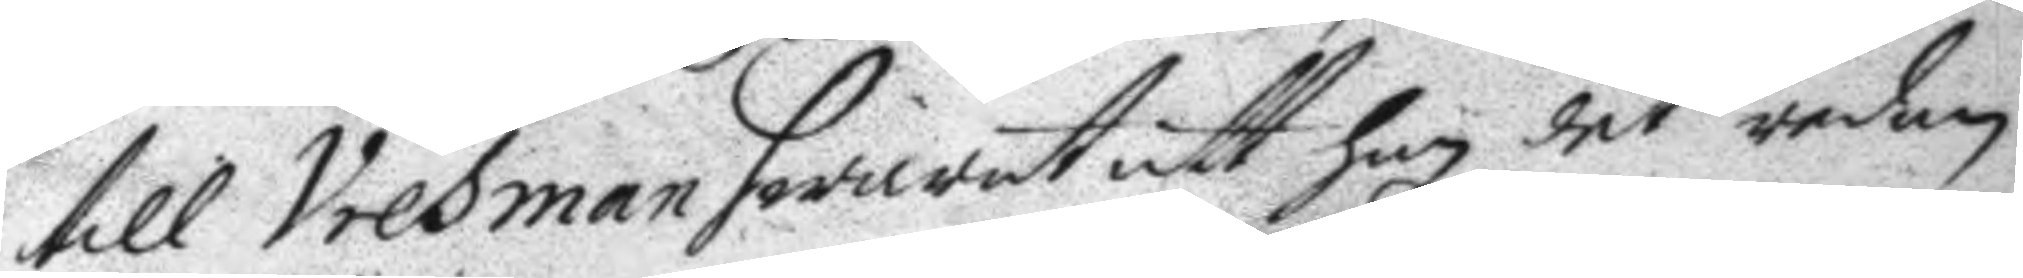till Vretman swarat att han det redan
